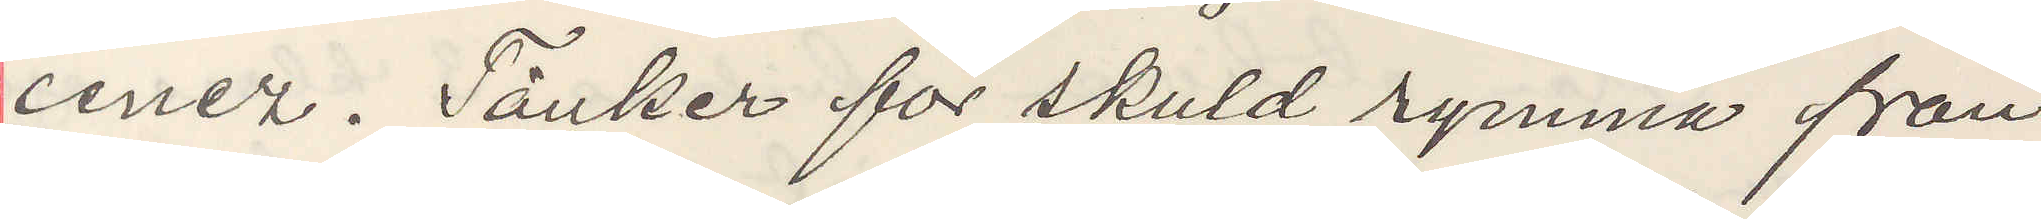cenez. Tänker för skuld rymma från
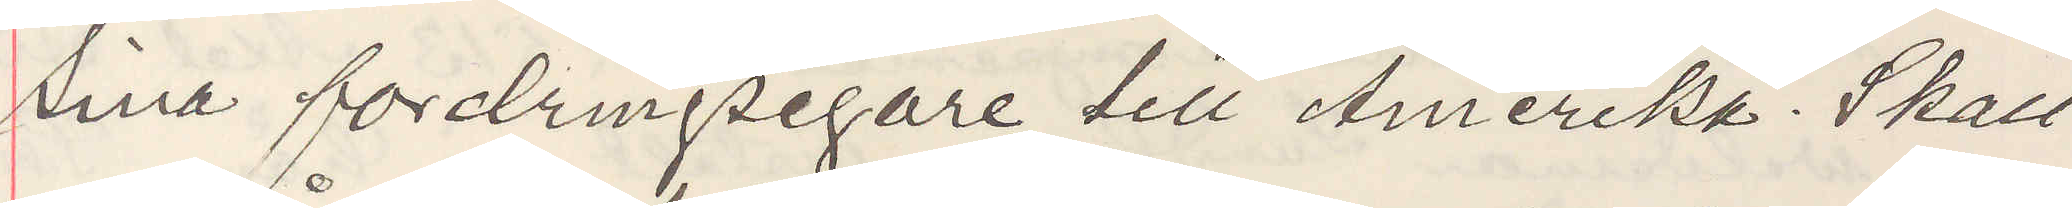sina fordringsegare till Amerika. Skall 
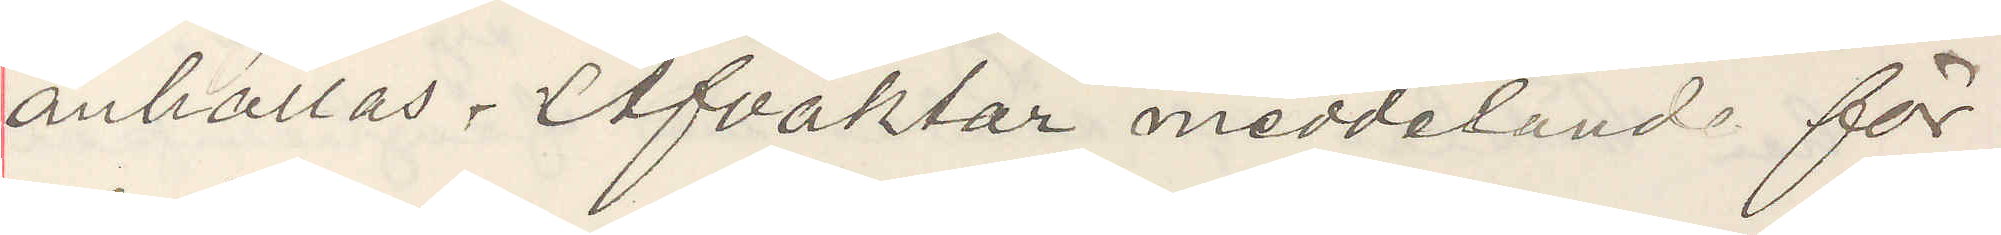anhållas. Afvaktar meddelande för
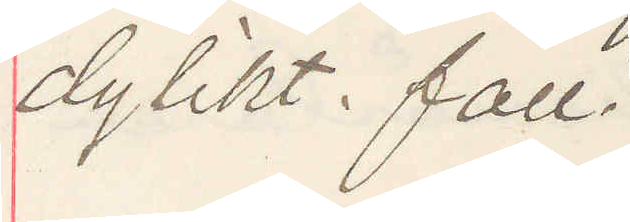dylikt. fall.
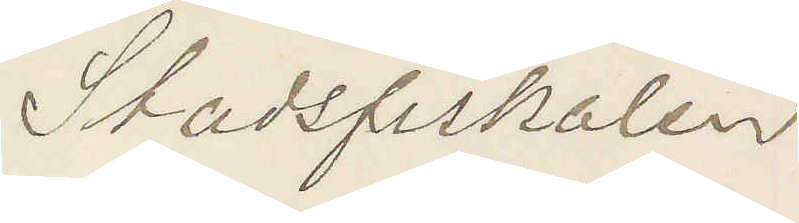Stadsfiskalen
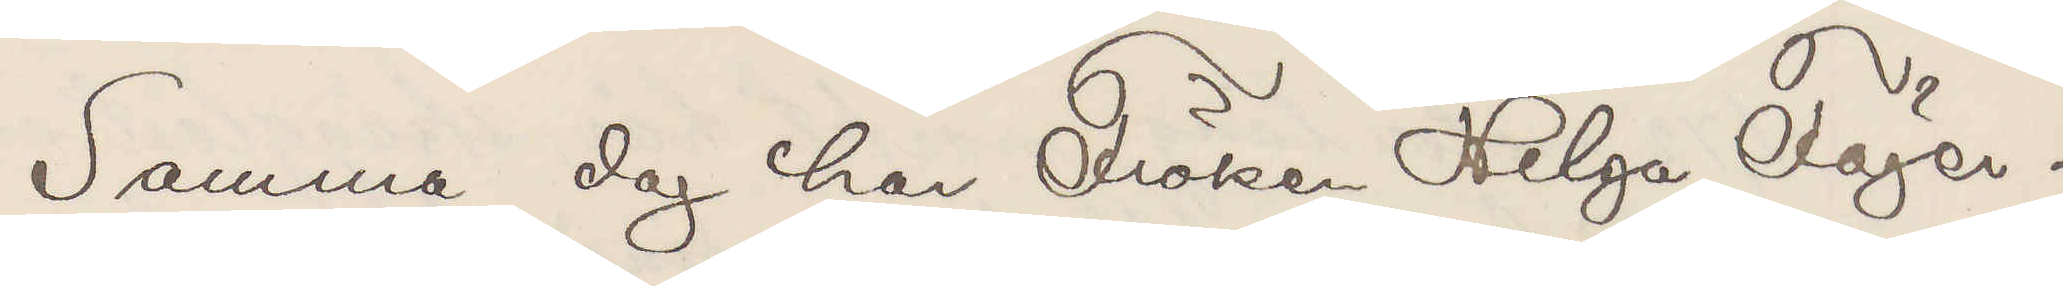Samma dag har Fröken Helga Fäger¬
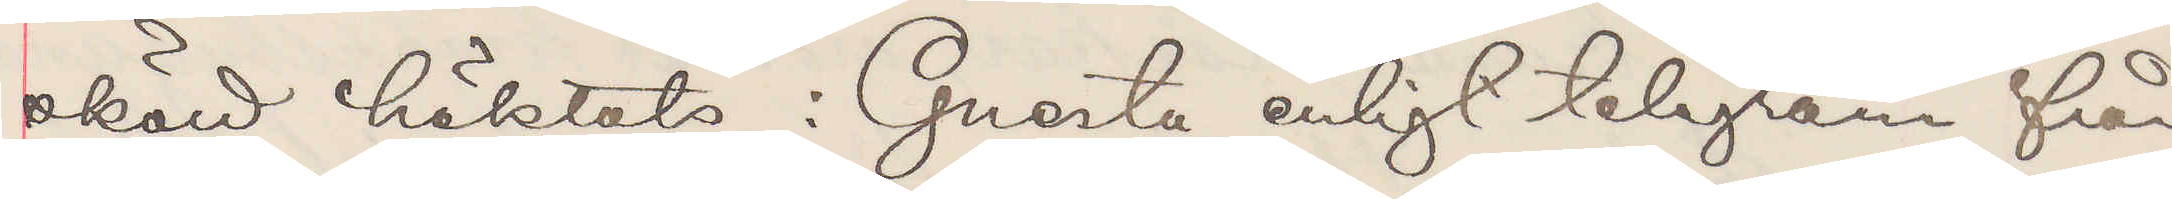sköld häktats i Gnesta enligt telegram från
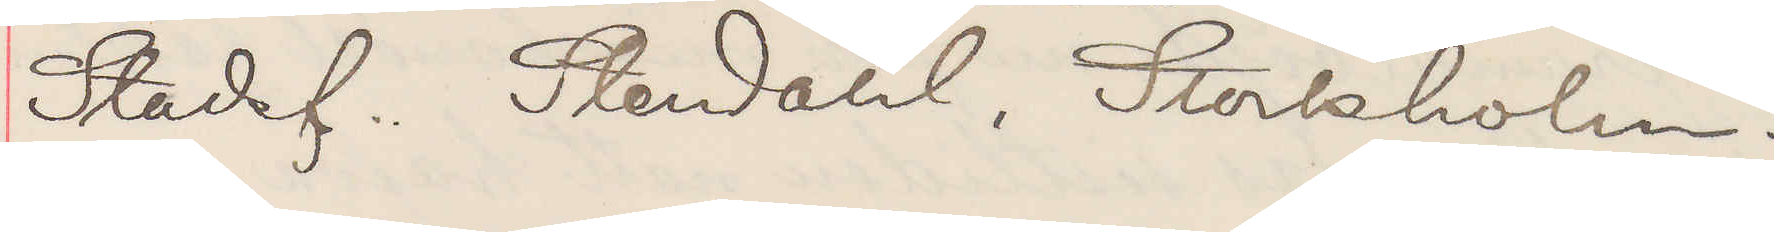Stadsf. Stendahl, Stockholm.
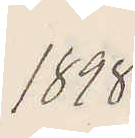1898
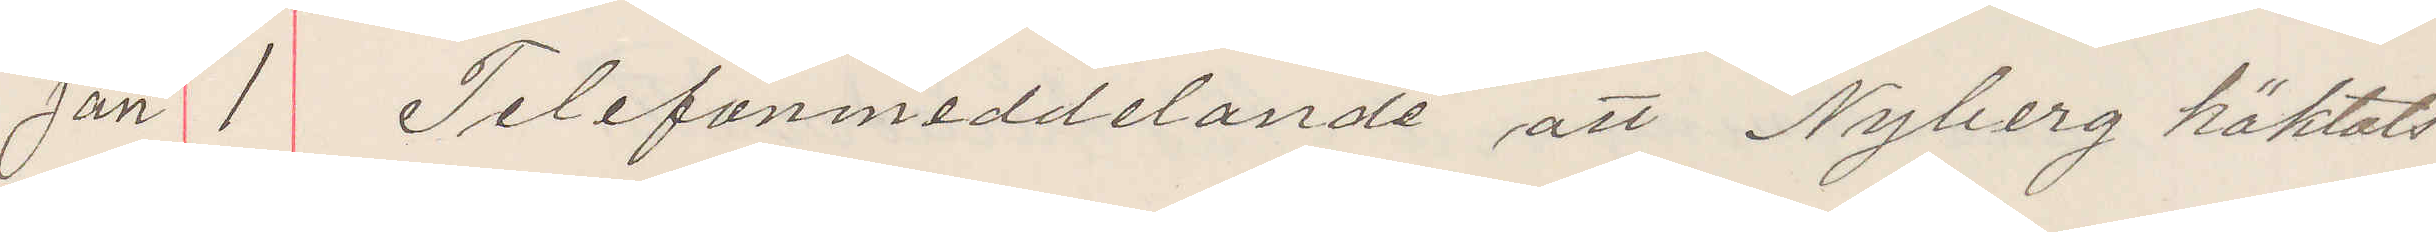Jan 1 Telefonmeddelande att Nyberg häktats
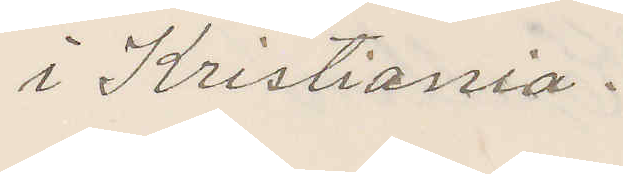i Kristiania.
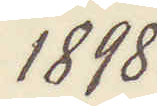1898.
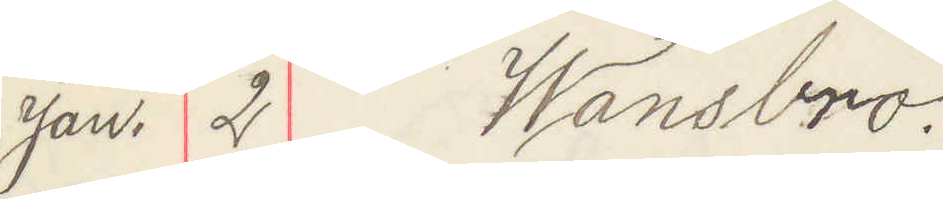Jan. 2 Wansbro.
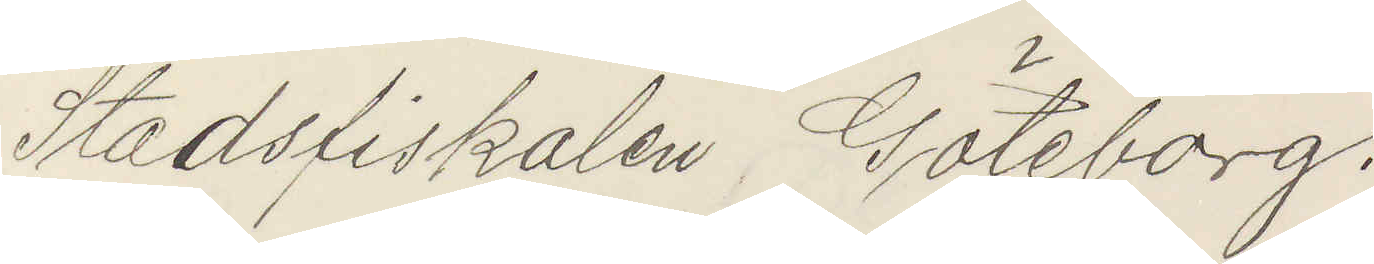Stadsfiskalen Göteborg.
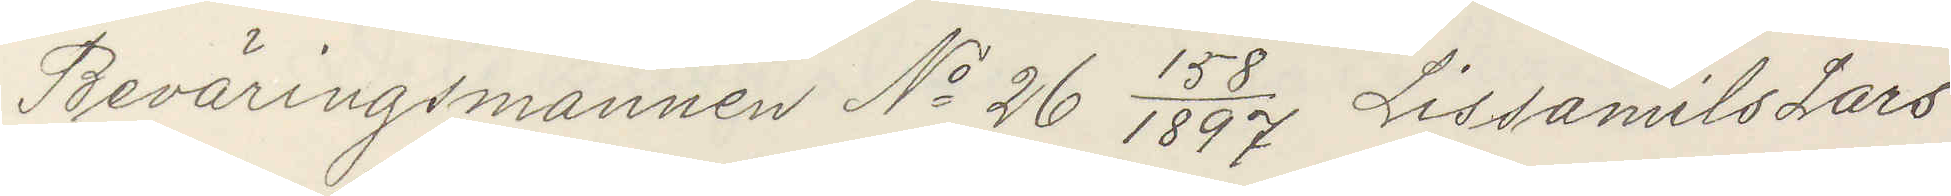Beväringsmannen No 26  158/1897 Lissamils Lars
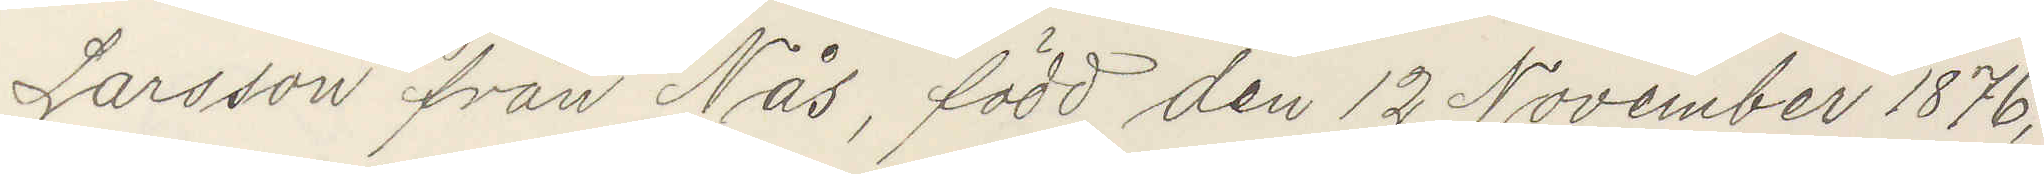Larsson från Nås, född den 12 November 1876,
